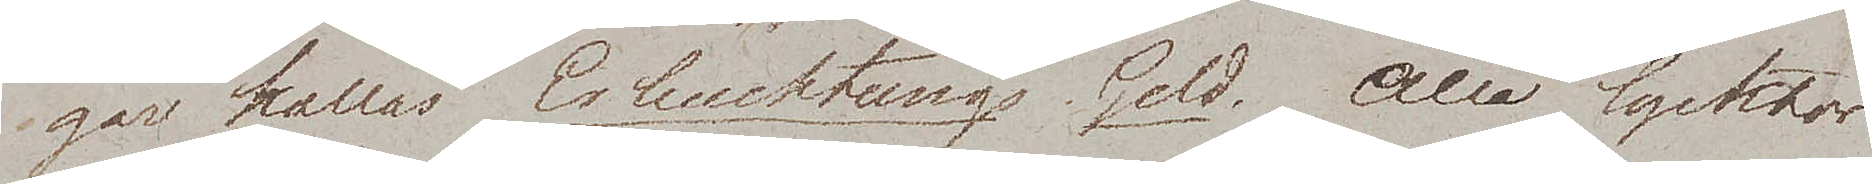gar kallas Erleuchtungs Geld. Alla lycktor
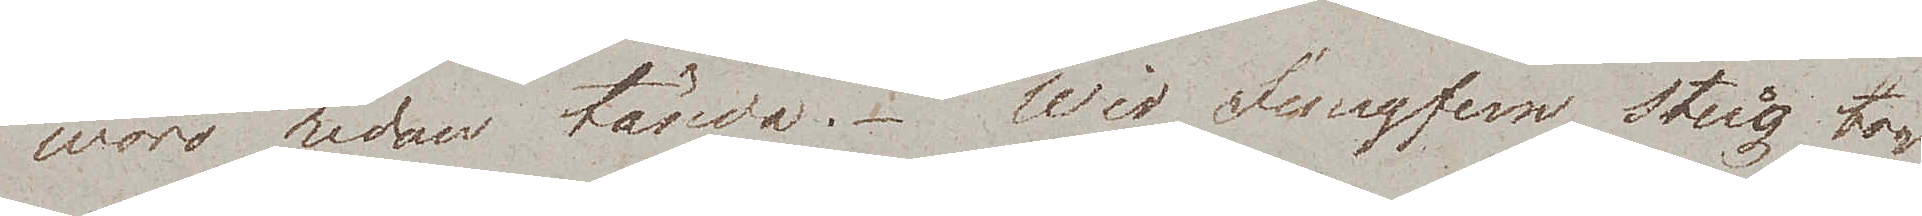woro redan tända. Wid Jungfern stieg tog
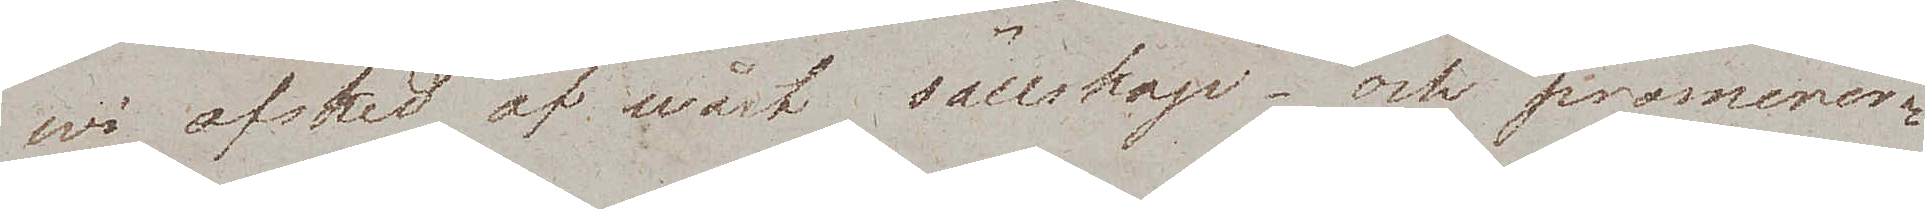wi afsked af wårt sällskap – och promenera¬
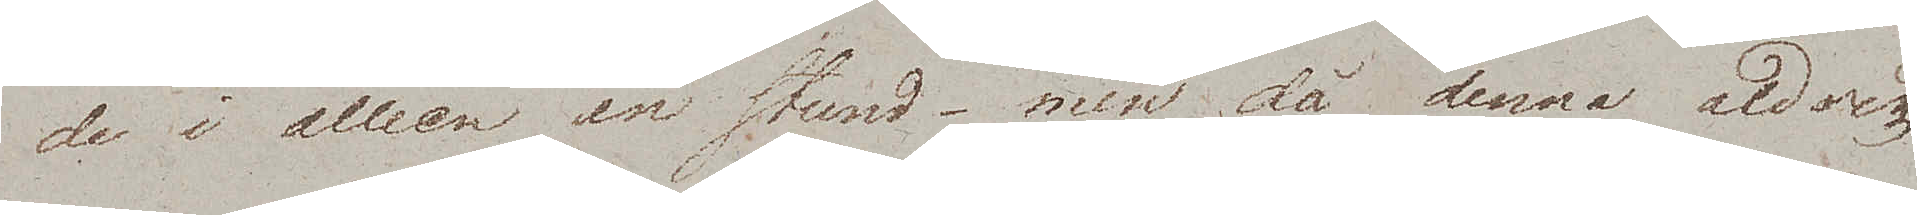de i alléen en stund – men då denna aldrig
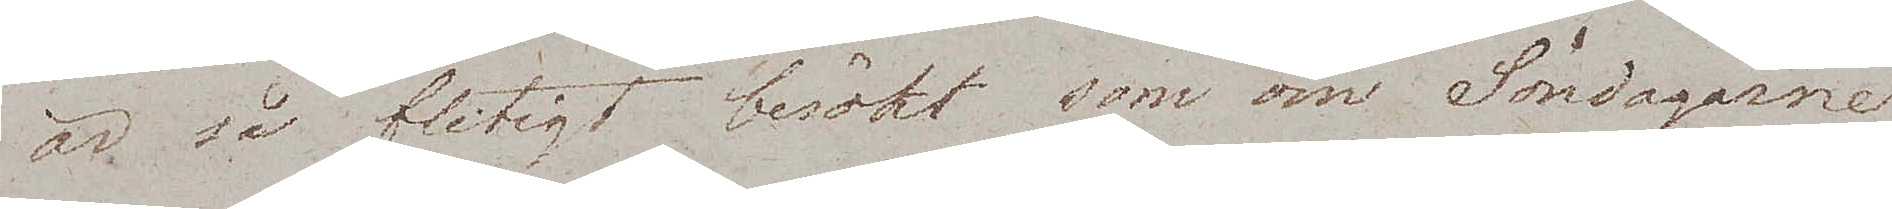är så flitigt besökt som om Söndagarne
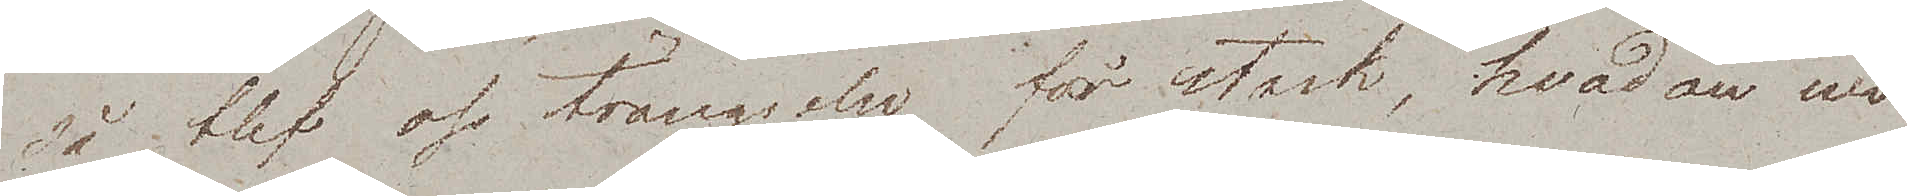så blef oss trängseln för stark, hvadan wi
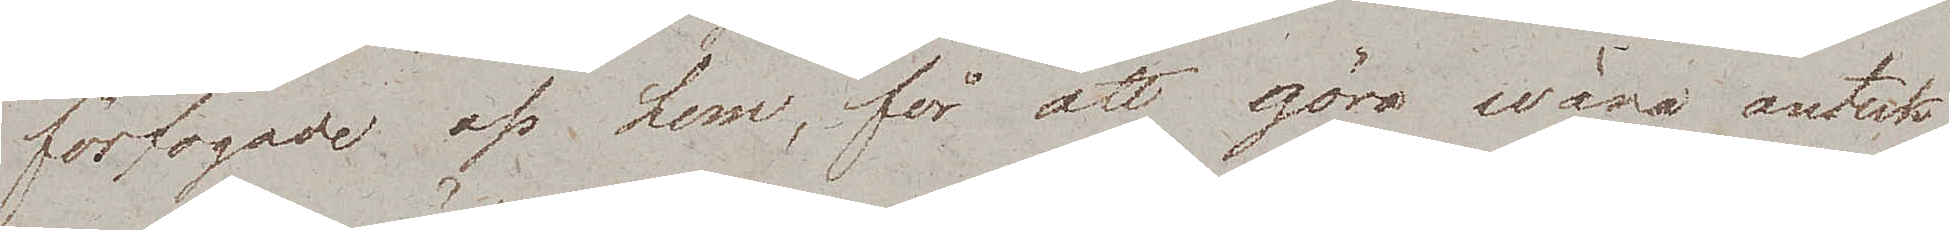förfogade oss hem, för att göra wåra anteck¬
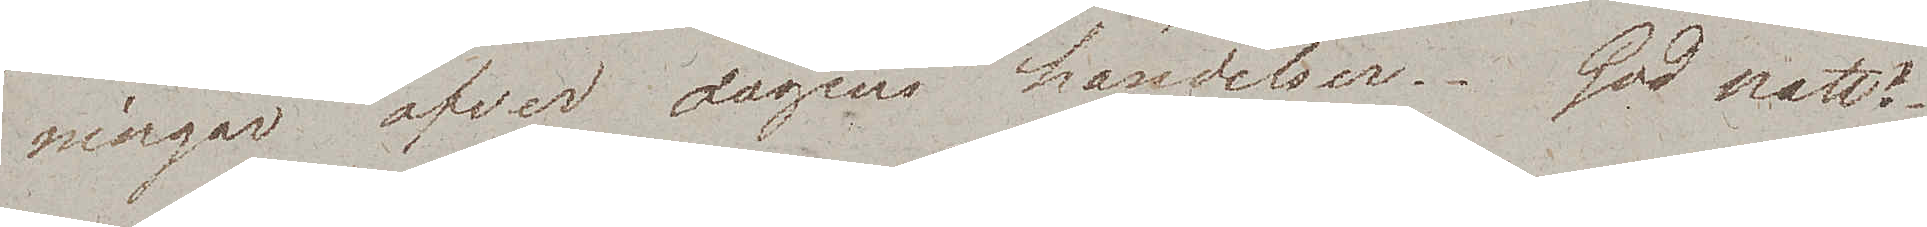ningar öfver dagens händelser. God natt!
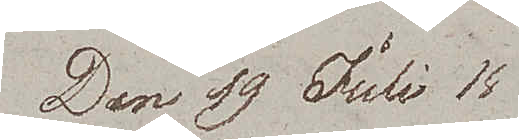Den 19 Juli 
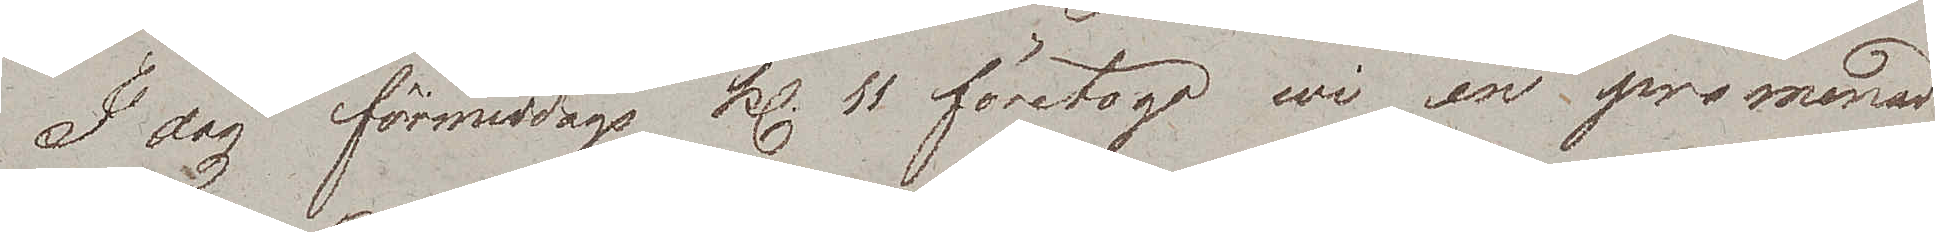I dag förmiddags kl. 11 företogo wi en promenad
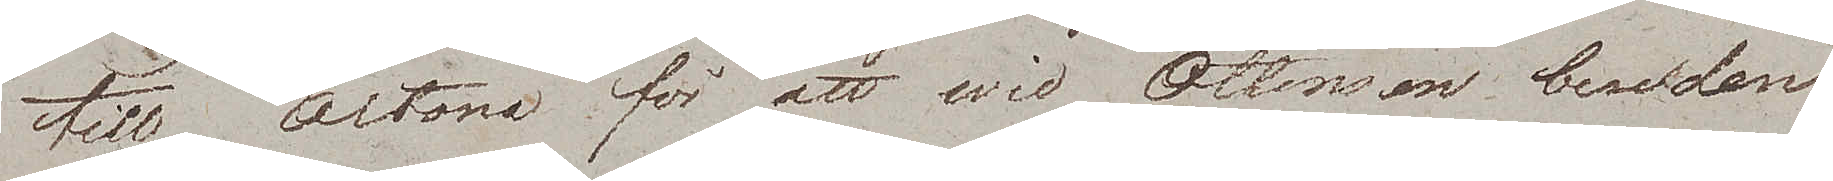till Altona för att wid Ottensen bese den
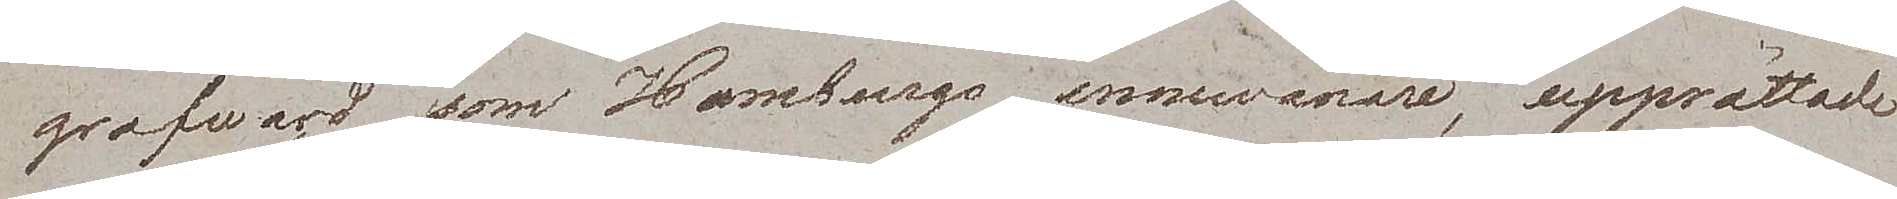grafwård som Hamburgs innewånare, upprättade
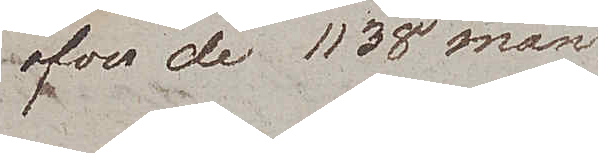öfver de 1138 män¬
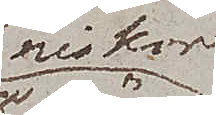niskor
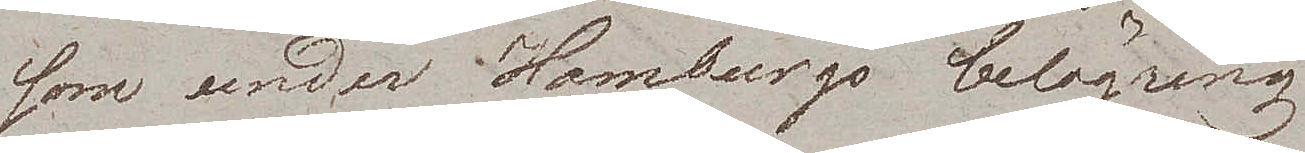som under Hamburgs belägring
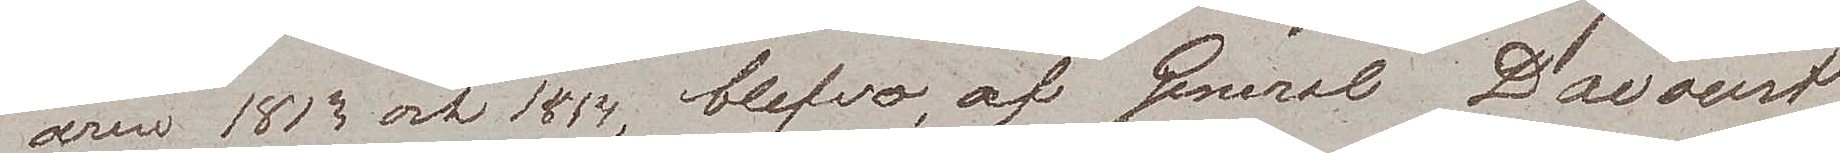åren 1813 och 1814, blefvo af General Davoust
